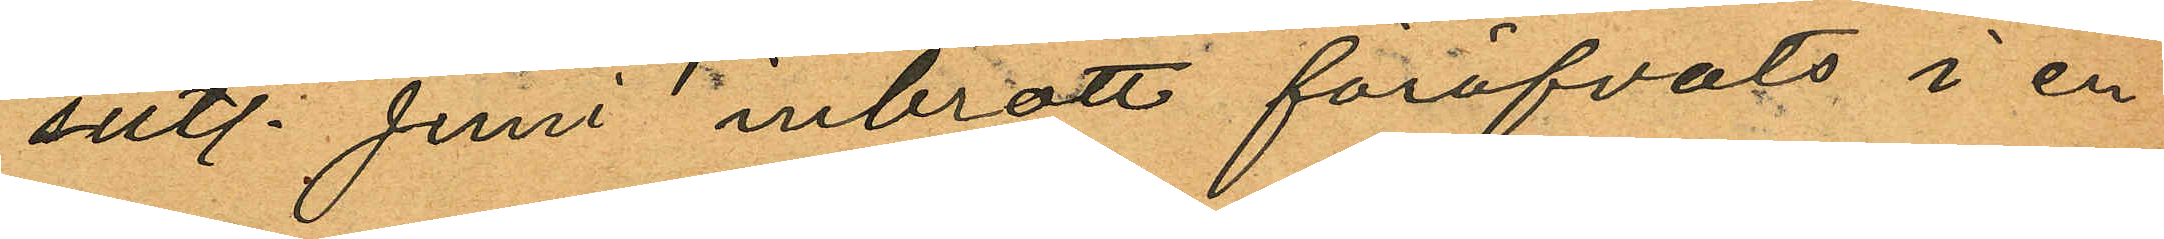sistl. Juni inbrott föröfvats i en
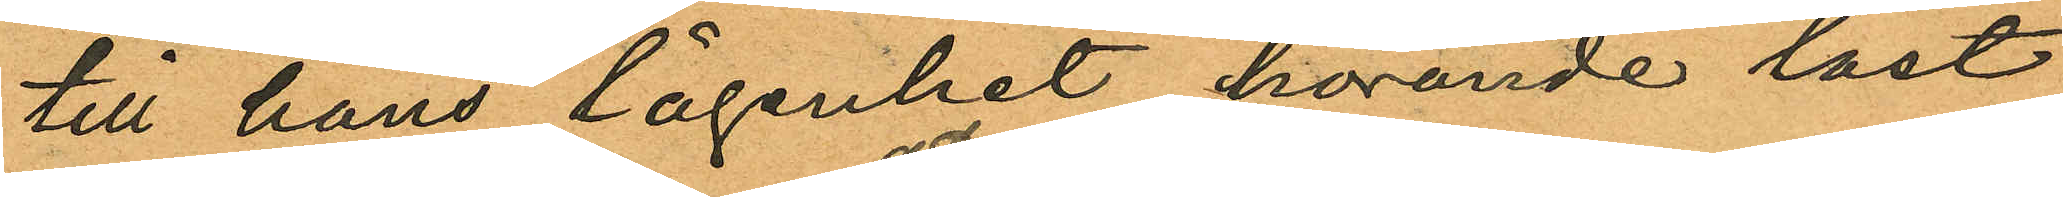till hans lägenhet hörande låst
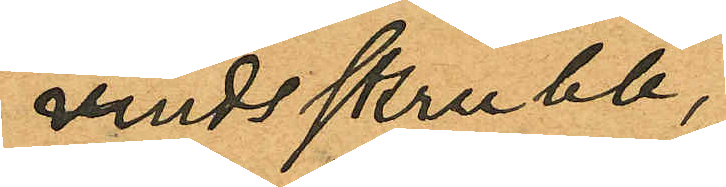vindsskrubb,
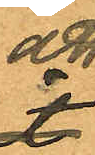att
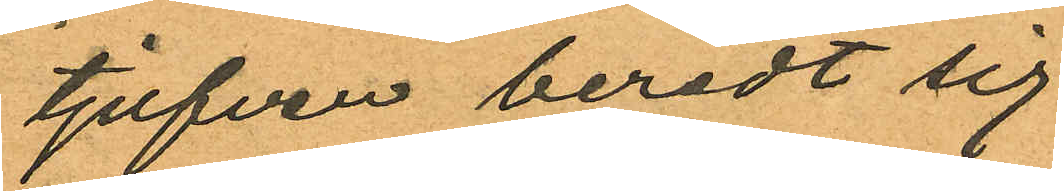tjufven beredt sig
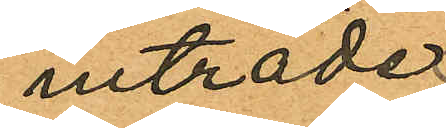initräde
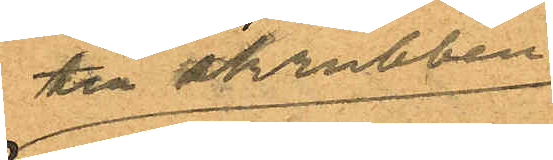till skrubben
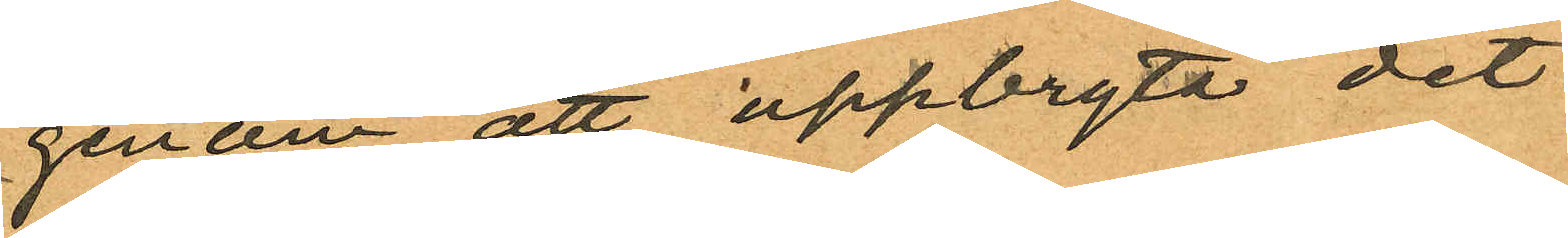genom att uppbryta det
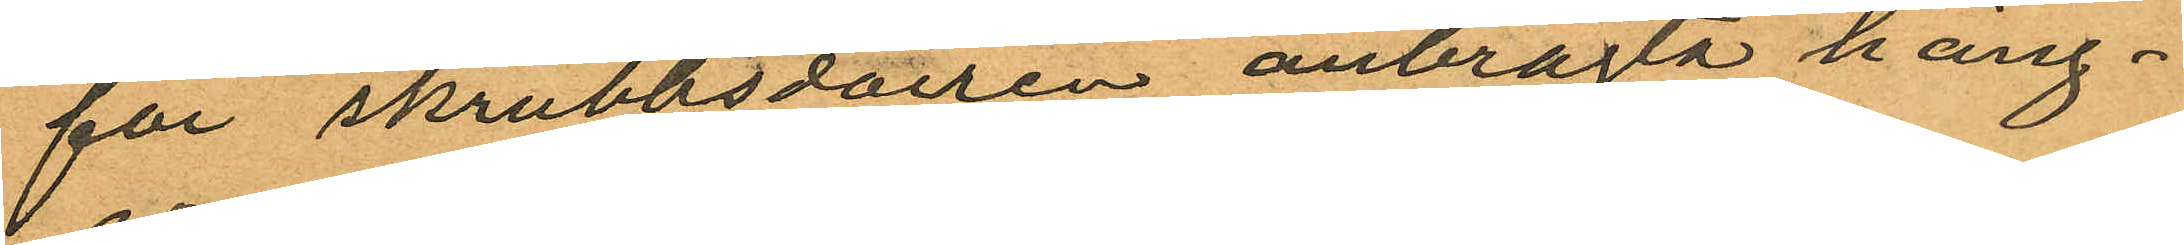för skrubbsdörren anbragta häng¬
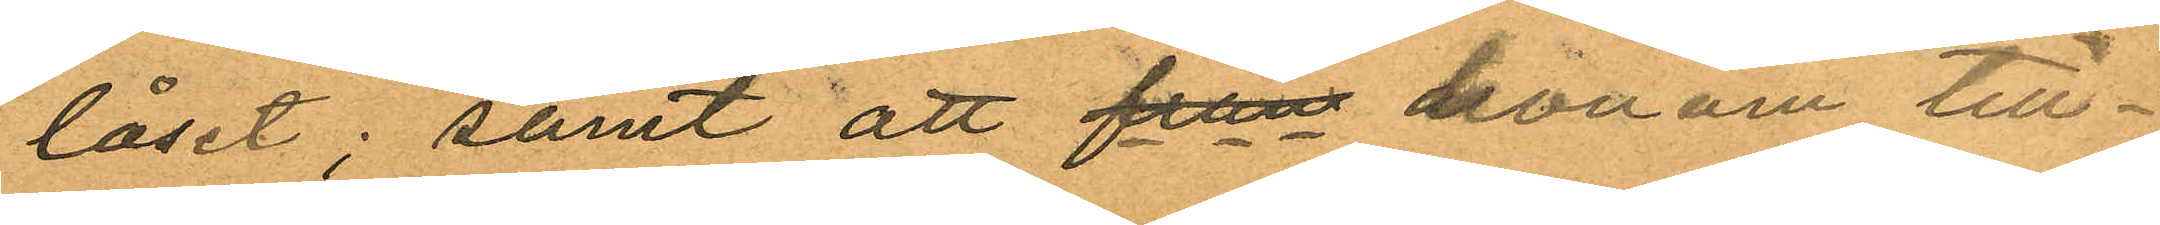låset; samt att från honom till¬
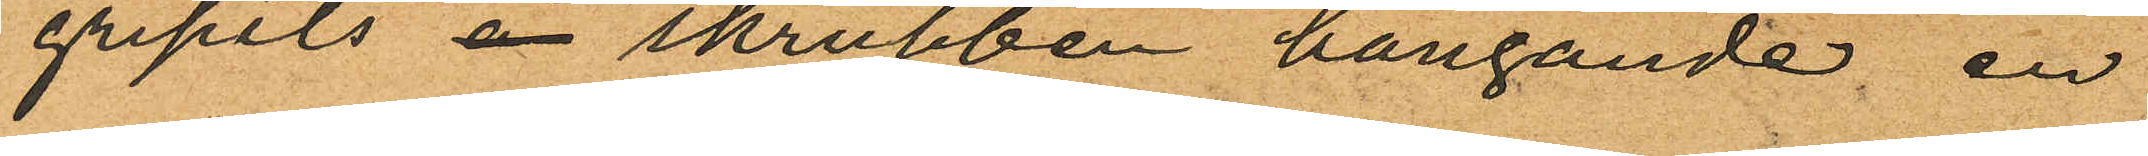gripits i skrubben hängande, en
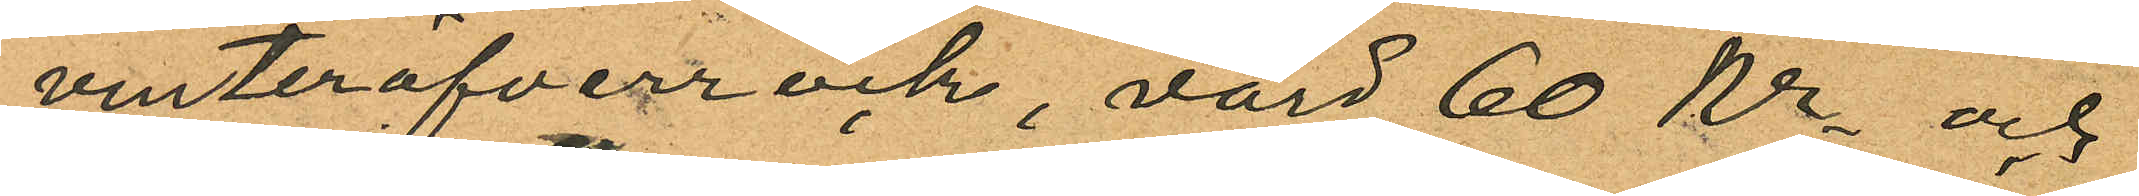vinteröfverrock, värd 60 Kr och
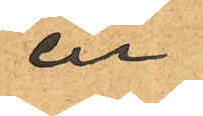en
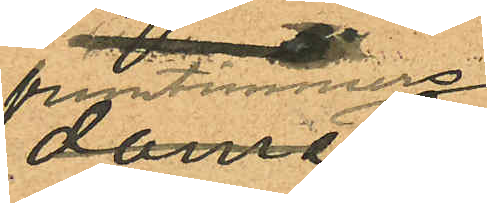fruntimmers¬
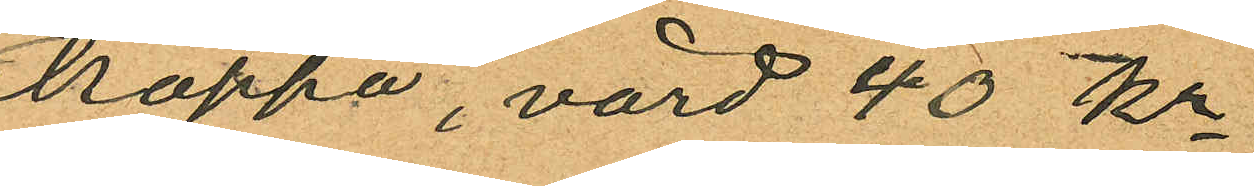kappa, värd 40 kr
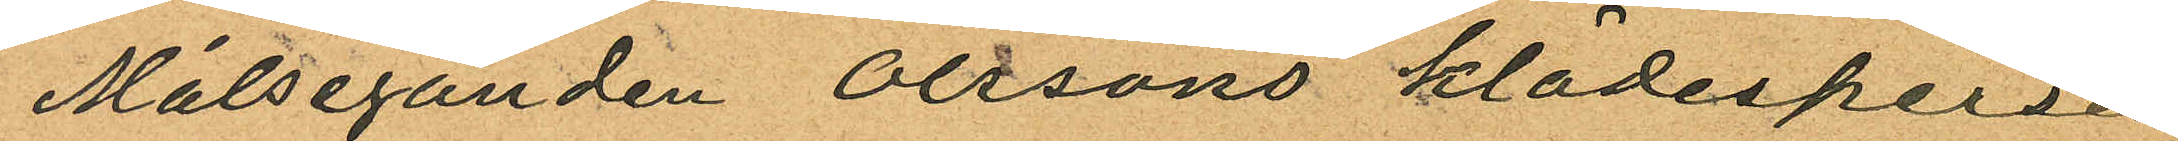Målseganden Olssons klädespersed
